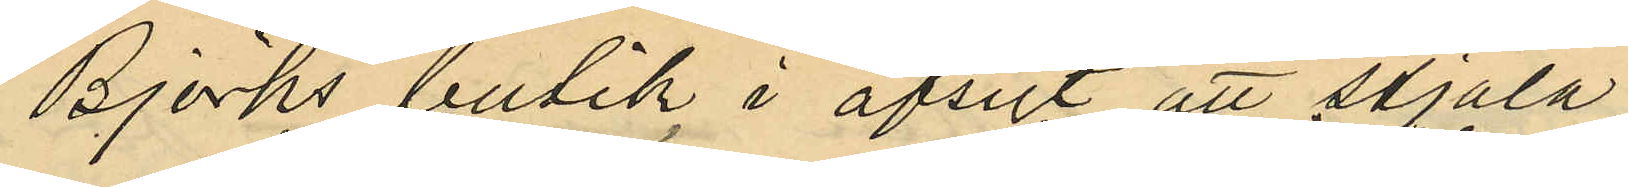Björks butik i afsigt att stjäla,
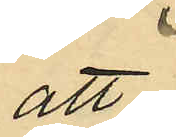att
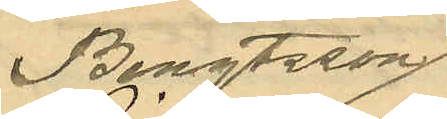Bengtsson
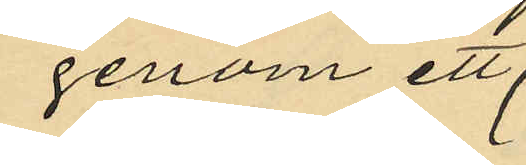genom ett
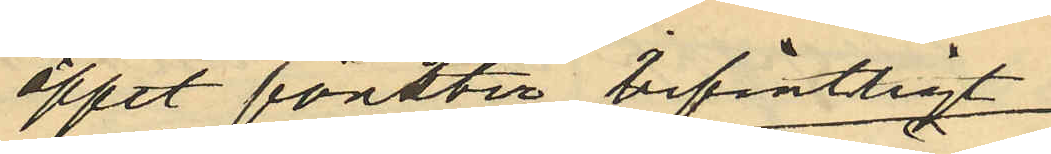öppet fönster befintligt
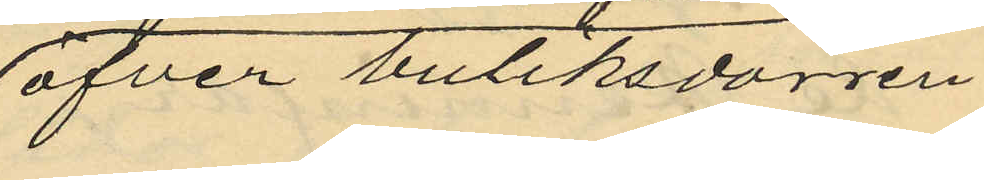öfver butiksdörren
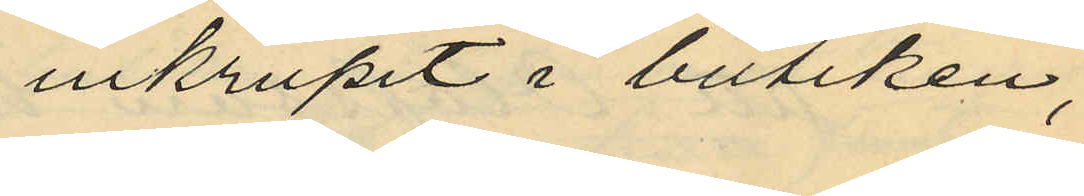inkrupit i butiken,
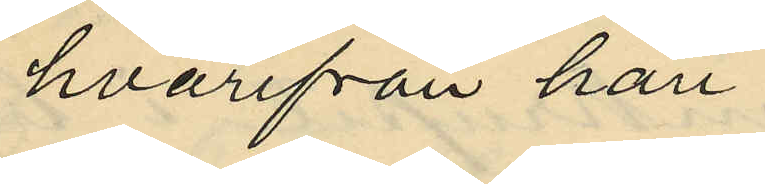hvarifrån han
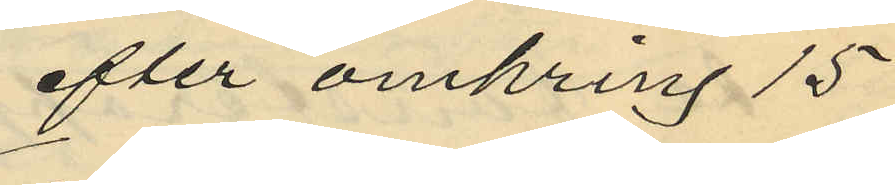efter omkring 15
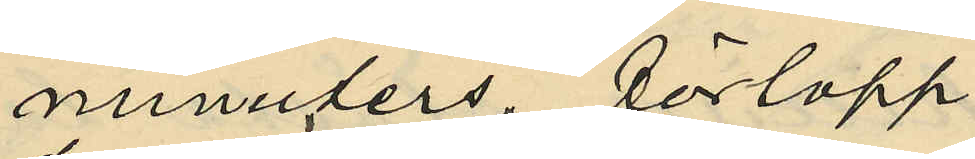minuters, förlopp
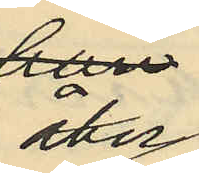åter
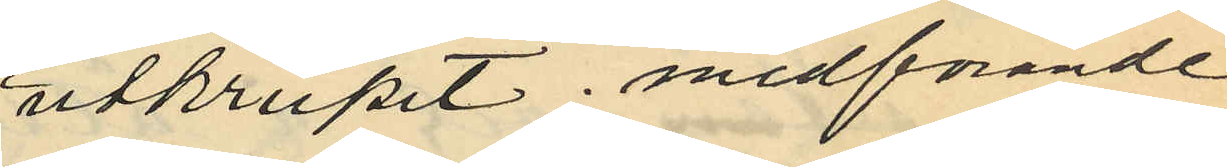utkrupit medförande
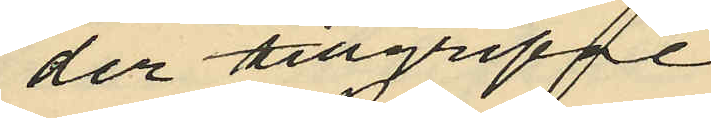der tillgripne
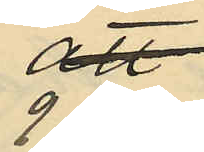9 kr
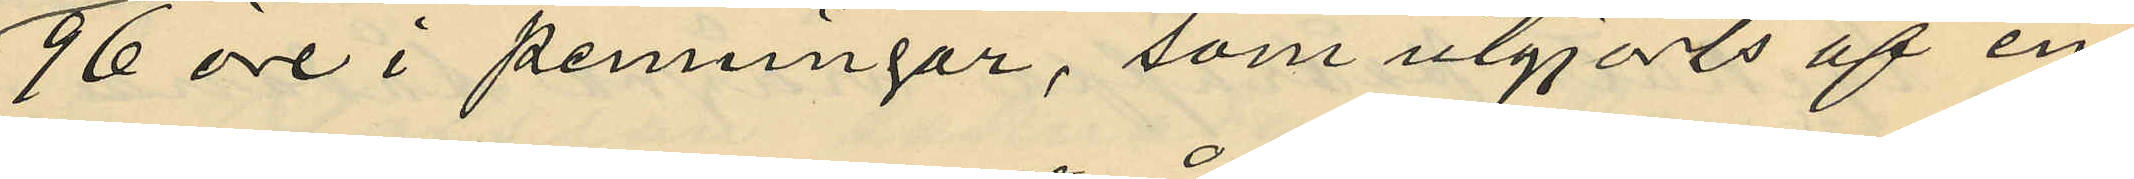96 öre i penningar, som utgjorts af en
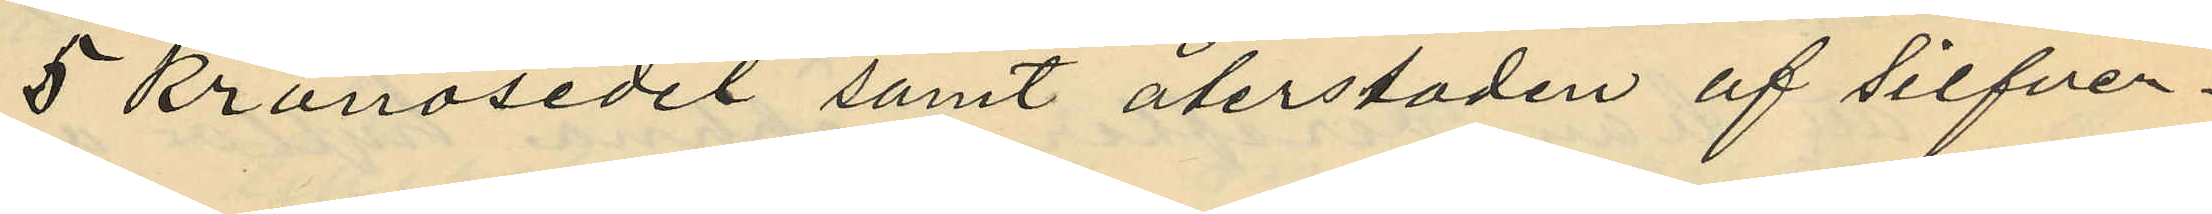5 kronosedel samt återstoden af silfver¬
